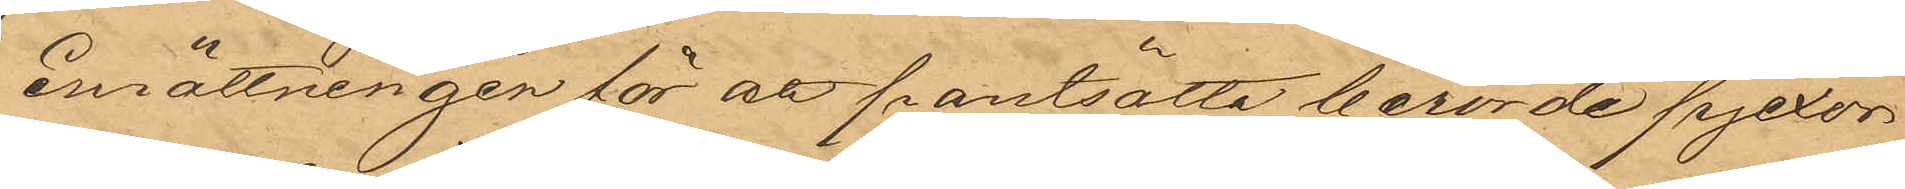inrättningen för att pantsätta berörde pjexor
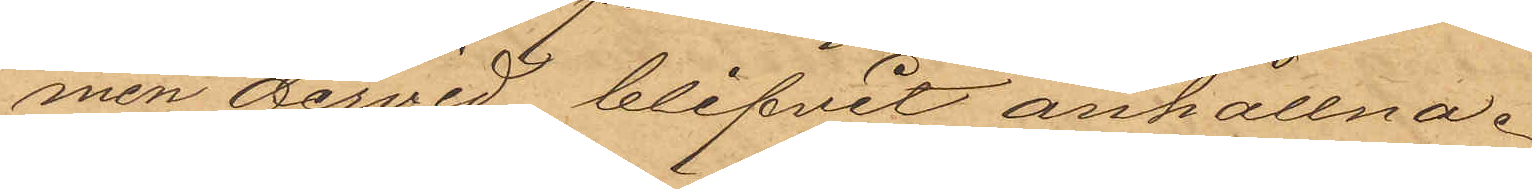men dervid blifvit anhållna,
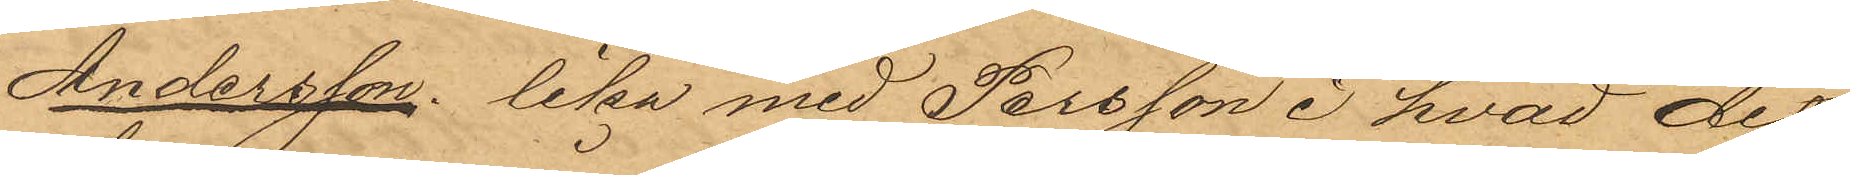Andersson lika med Persson i hvad det
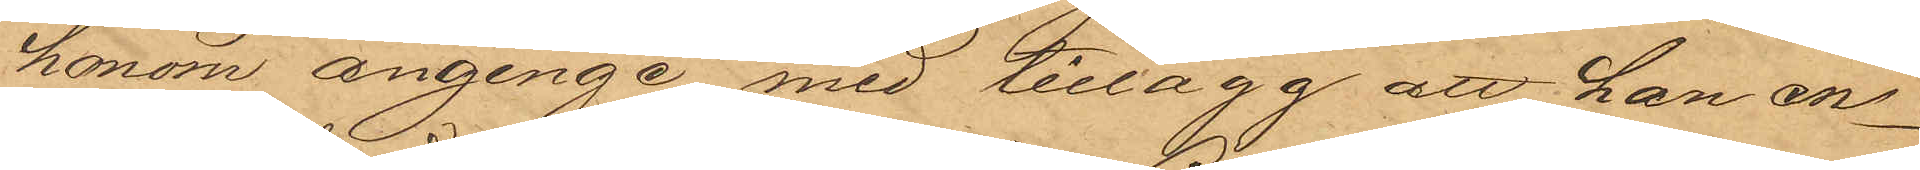honom anginge med tillägg att han en¬
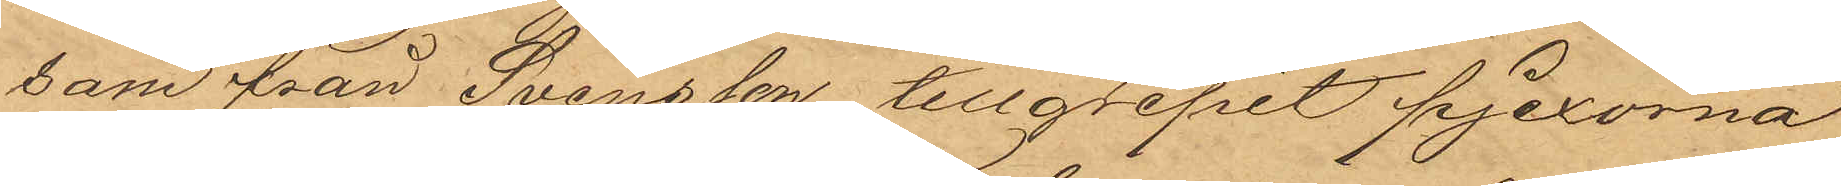sam från Svensson tillgripit pjexorna
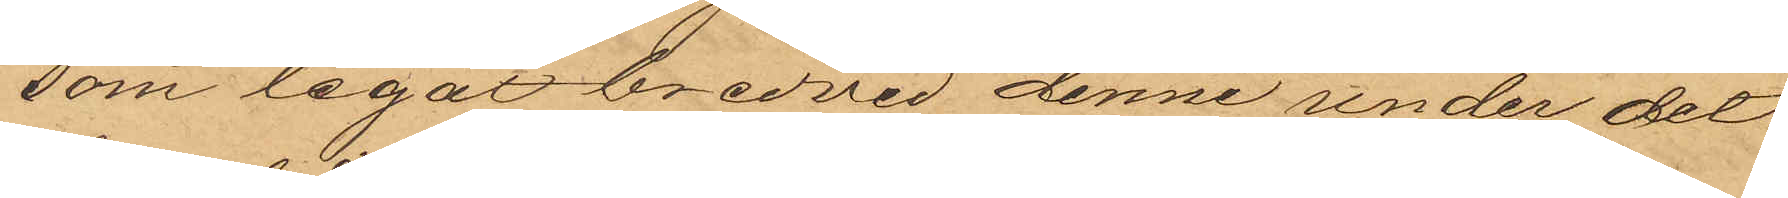som legat bredvid denne under det
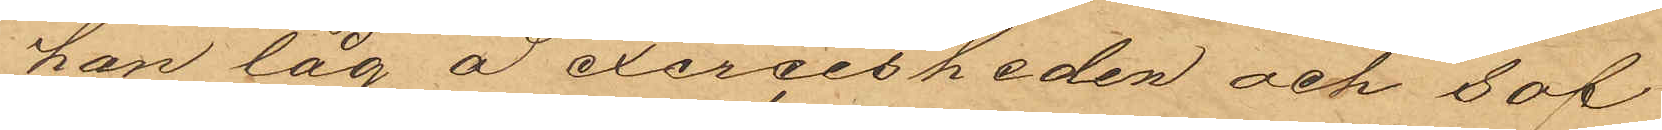han låg å exercisheden och sof.
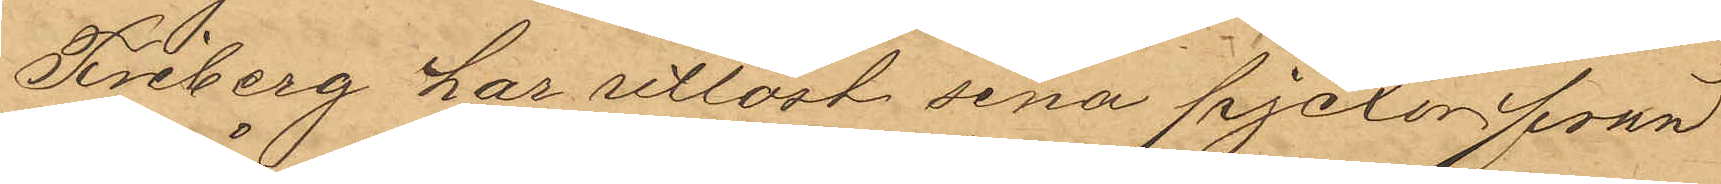Friberg har utlöst sina pjexor från
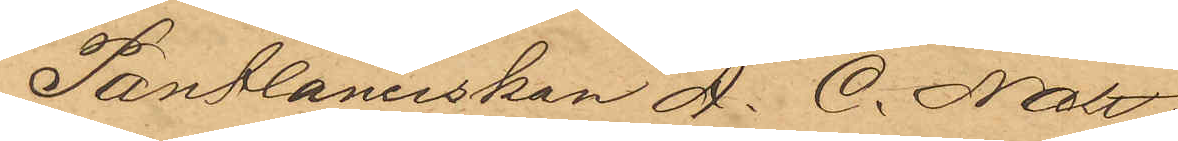Pantlånerskan A. C. Nätt.
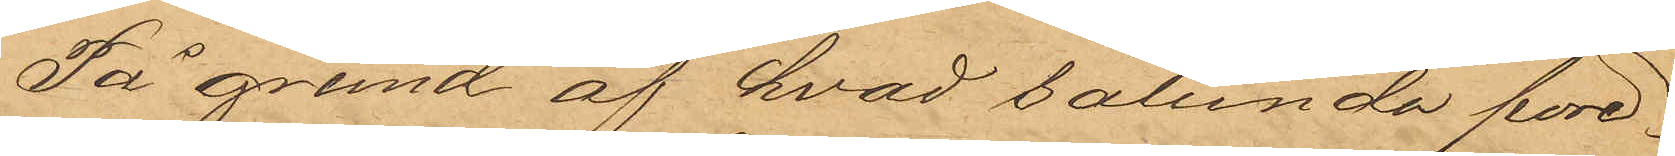På grund af hvad sålunda före¬
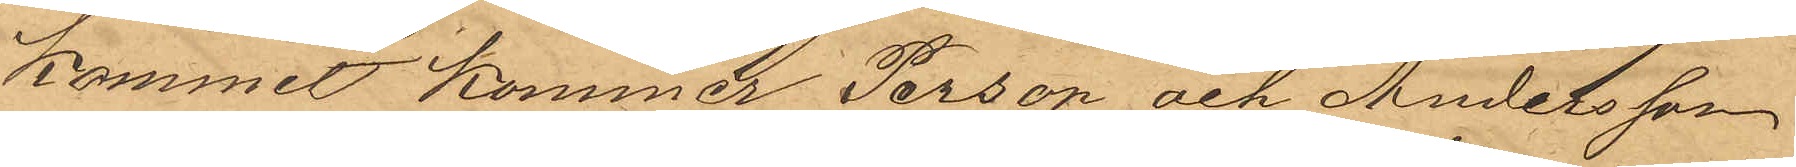kommit kommer Person och Andersson
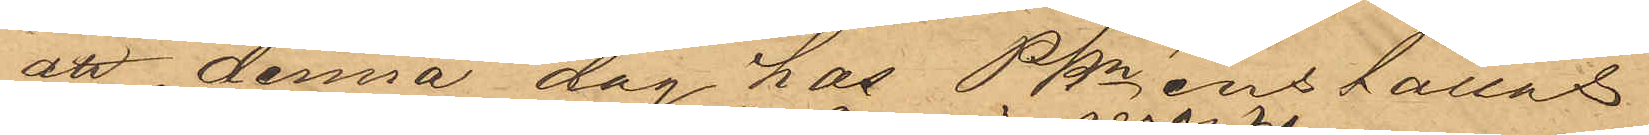att denna dag hos Pkn  inställas.
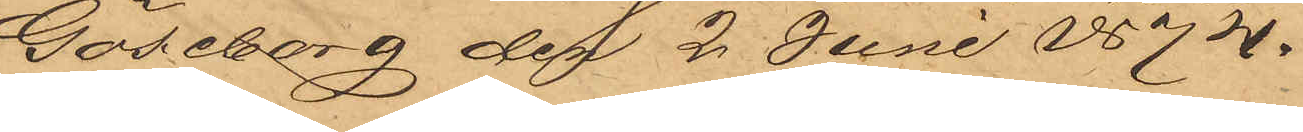Göteborg den 2 Juni 1874.
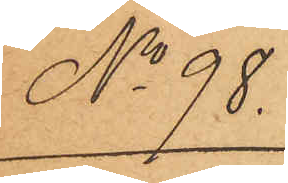No 98.
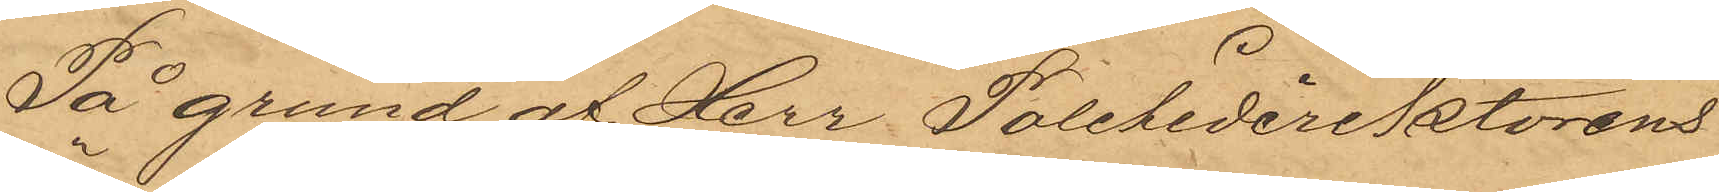På grund af Herr Politidirektörens
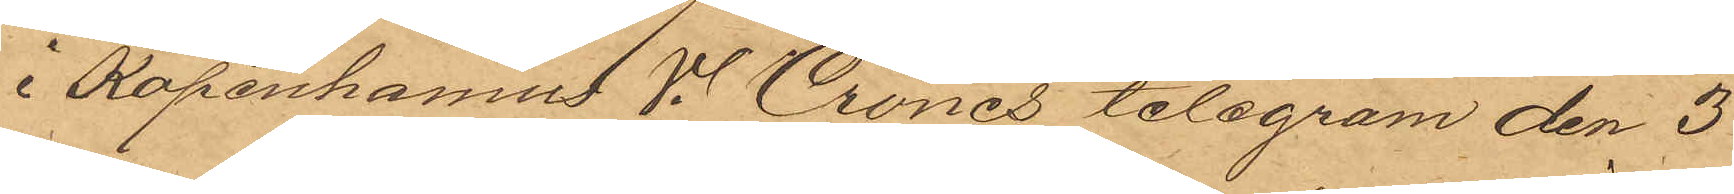i Köpenhamns V. Crones telegram den 3
